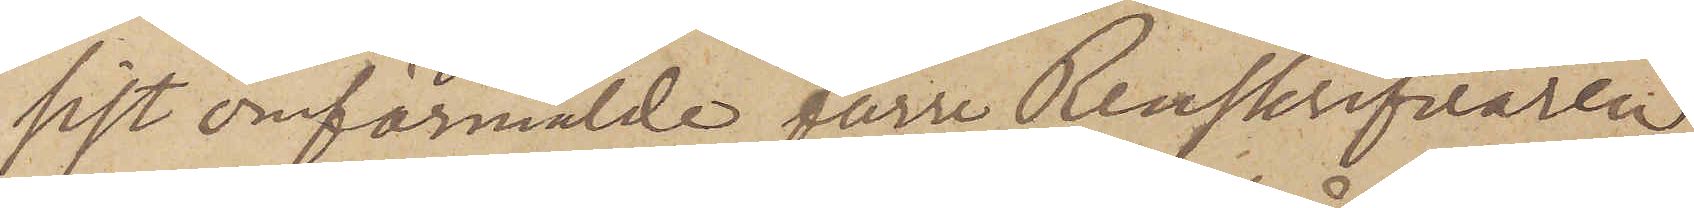sist omförmälde förre Renskrifvaren
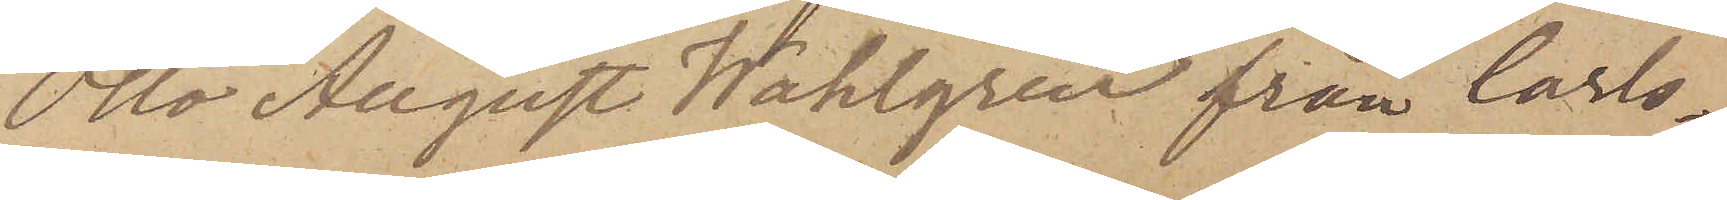Otto August Wahlgren från Carls¬
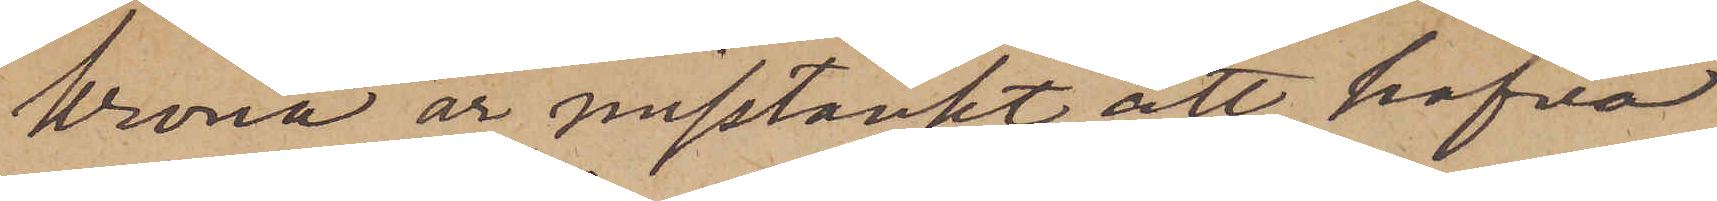krona är misstänkt att hafva
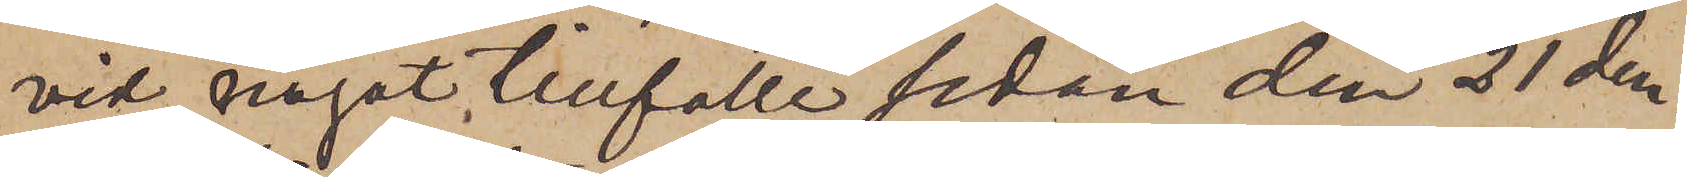vid något tillfälle sedan den 21 den¬
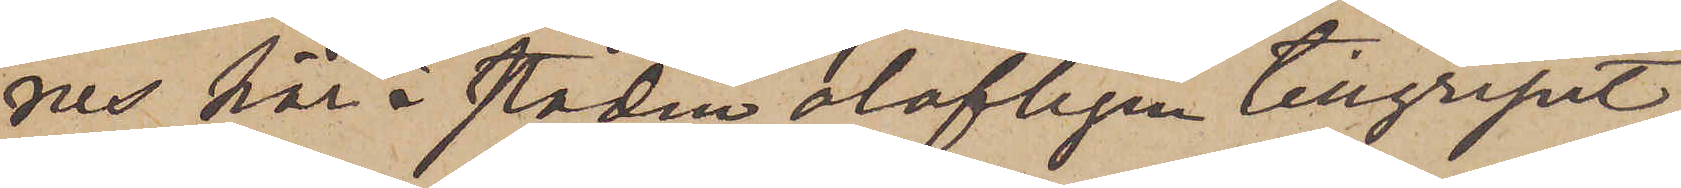nes här i staden olofligen tillgripit
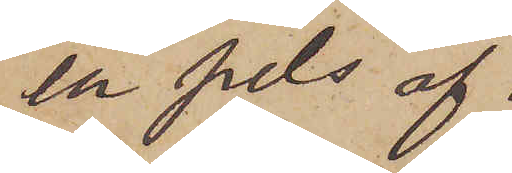en pels af
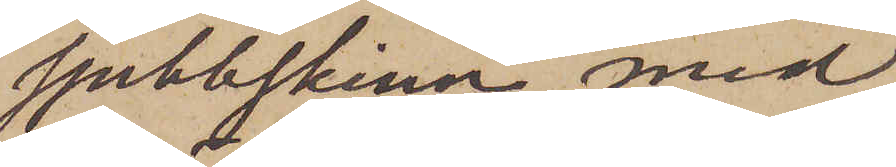sjubbskinn med
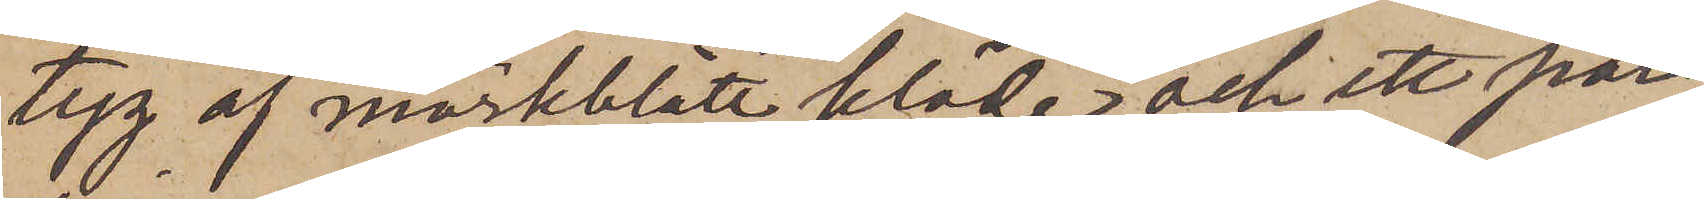tyg af mörkblått kläde och ett par
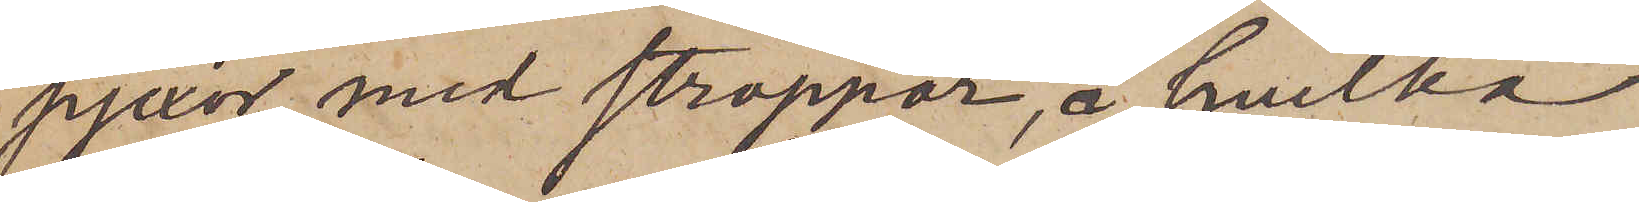pjexor med stroppar, å hvilka
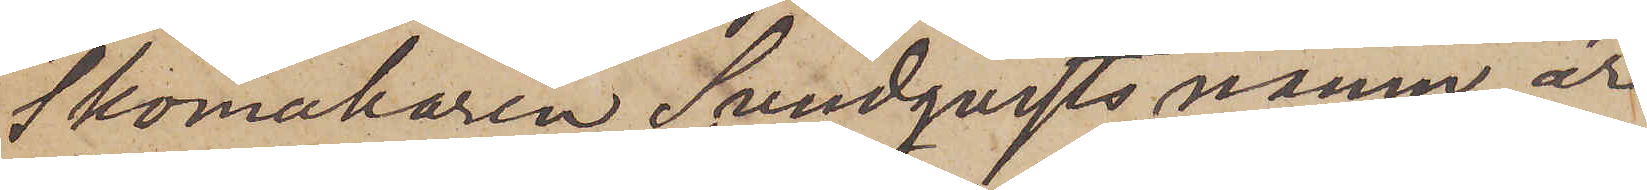skomakaren Sundqvists namn är
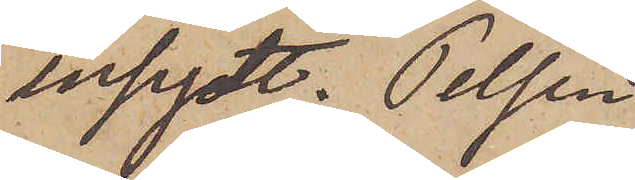insydt. Pelsen
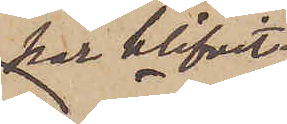har blifvit
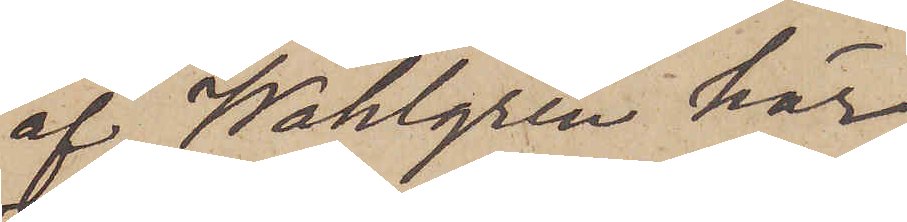af Wahlgren här
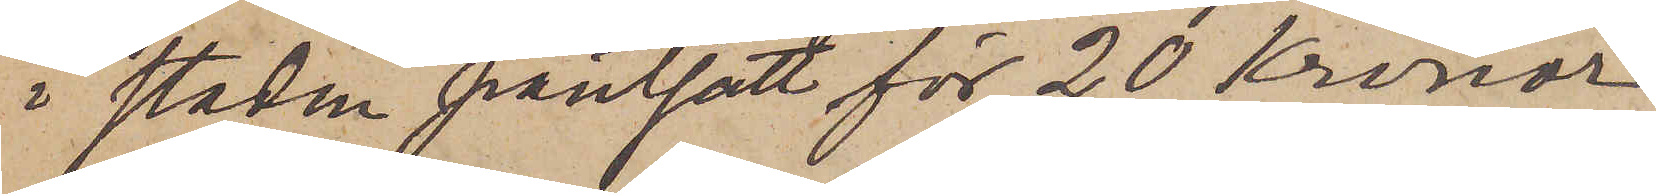i staden pantsatt för 20 Kronor.
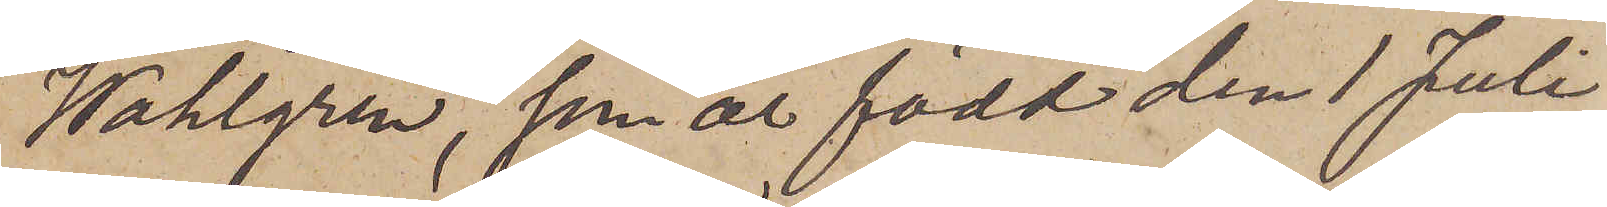Wahlgren, som är född den 1 Juli
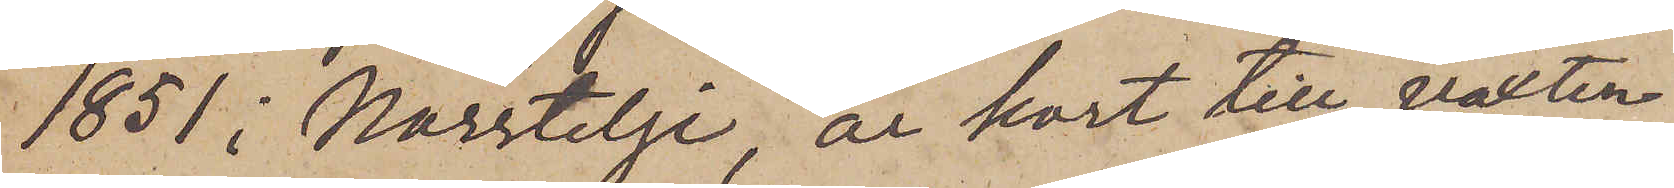1851 i Norrtelje, är kort till växten
